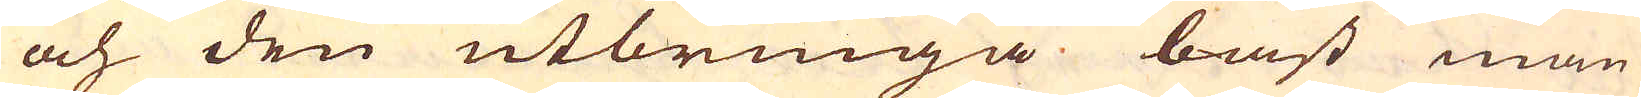och den utbringa bäst man
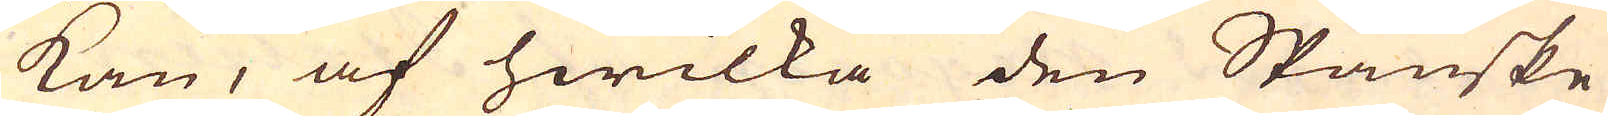kan, af hwilka den Spanske
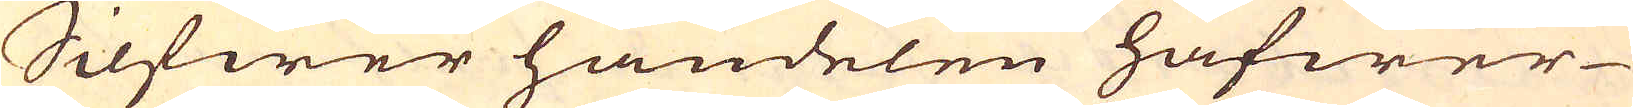Silfwer handelen hafwer
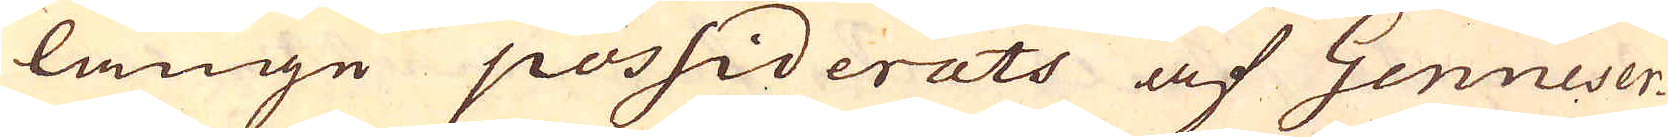länge possiderats af Genueser-
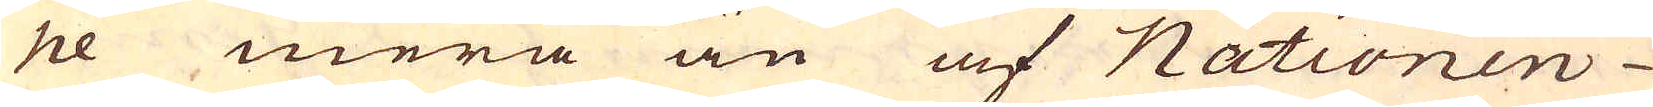ne mera än af Nationen
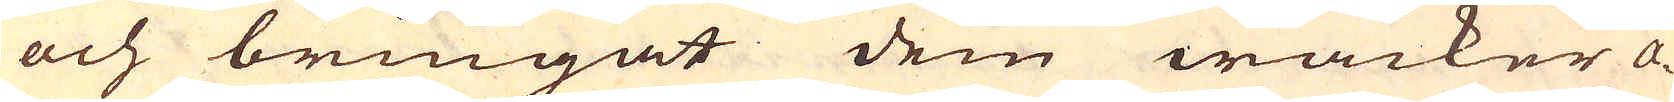och bringat dem wacker a-
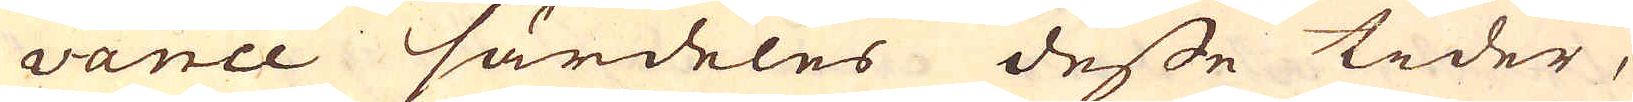vance särdeles desse tider,
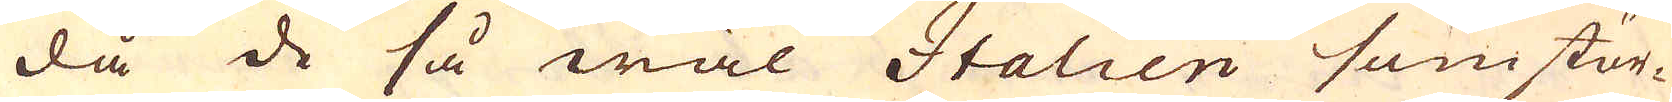då de så wäl Italien som stör-
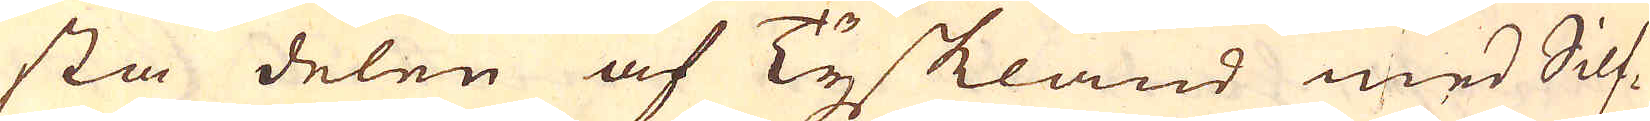sta delen af Tyskland med Silf-
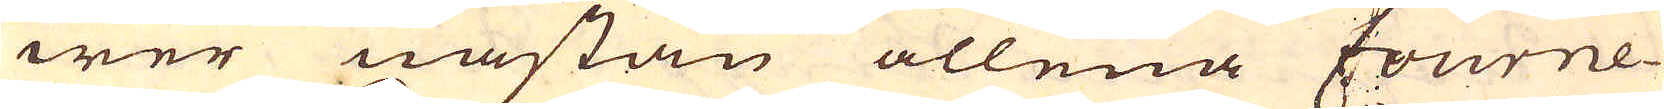wer nästan allena fourne-
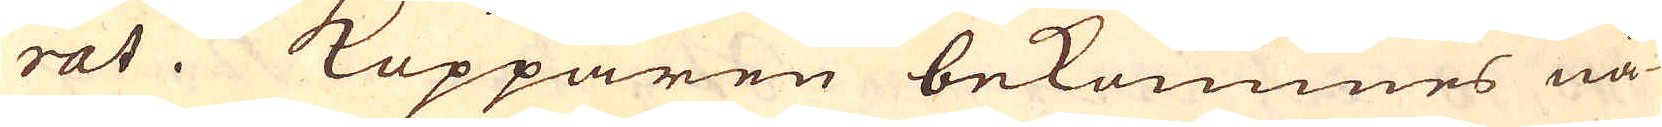rat. Kopparen bekommes nå-
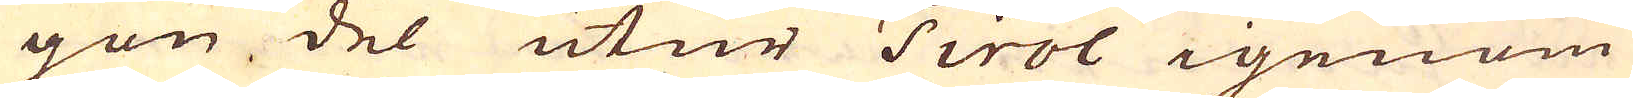gon del utur Tirol igenom
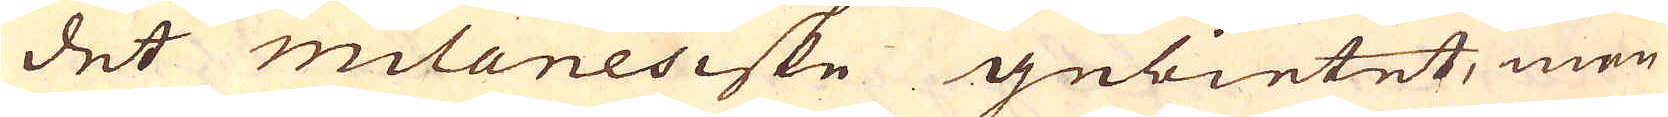det milanesiske gebietet, men
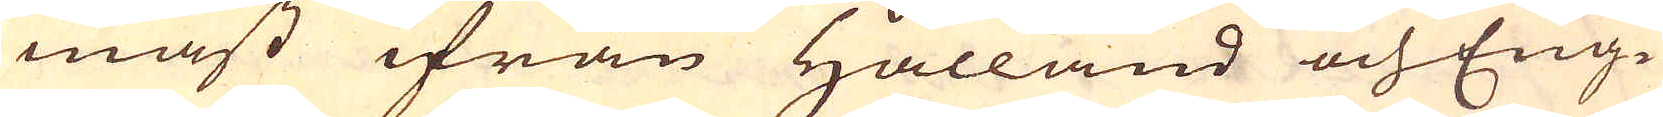mäst ifrån Hålland och Eng-
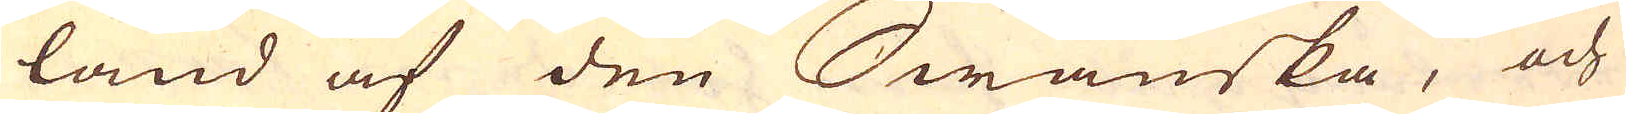land af den Swänska, och
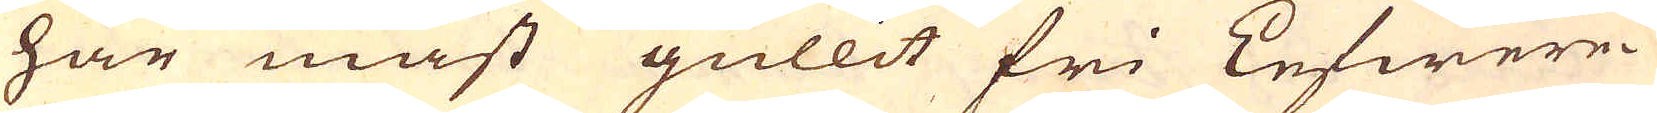har mäst gullit fri Lefwere-
